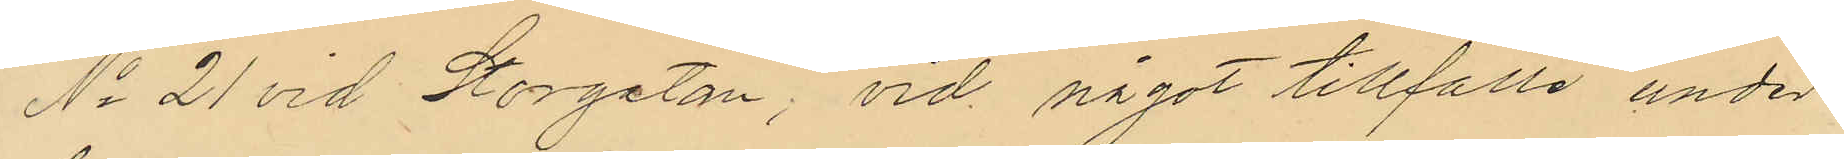No 21 vid Storgatan; vid något tillfälle under
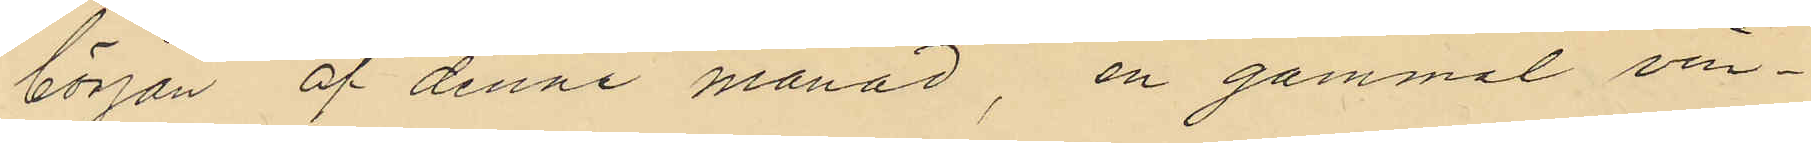början af denne månad, en gammal vin¬
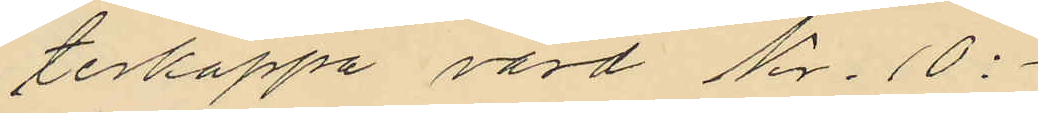terkappa värd Kr. 10:-
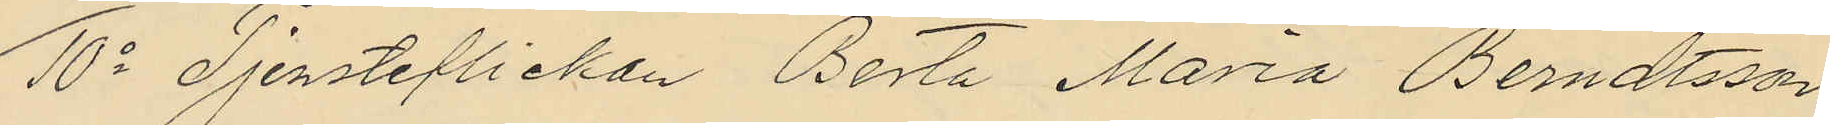10o Tjensteflickan Berta Maria Berndtsson
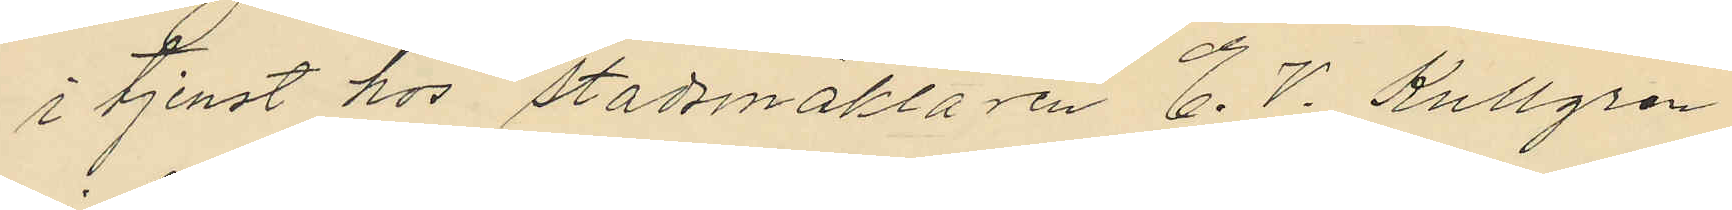i tjenst hos Stadsmäklaren E. V. Kullgren
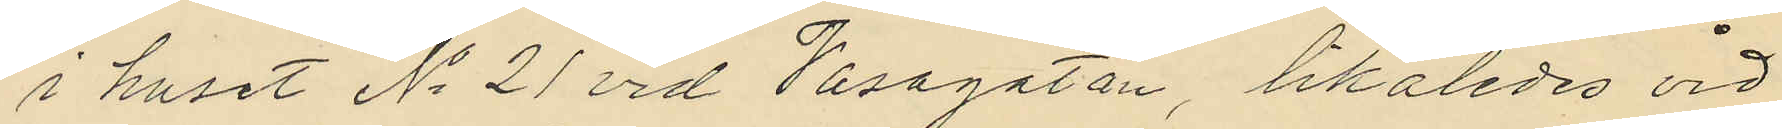i huset No 21 vid Vasagatan, likaledes vid
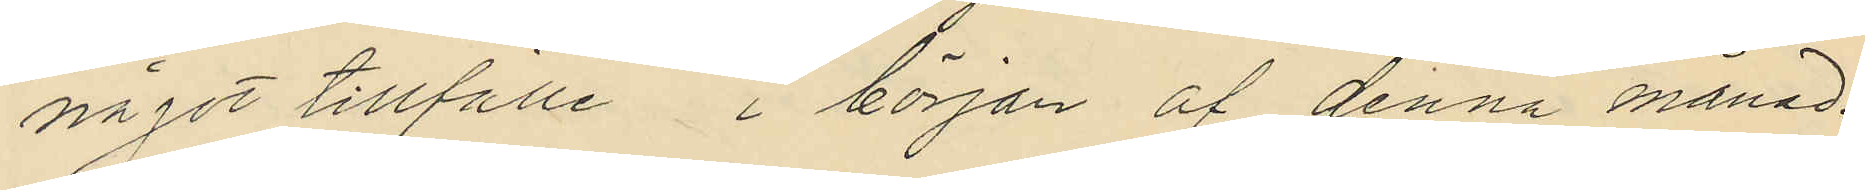något tillfälle i början af denna månad:
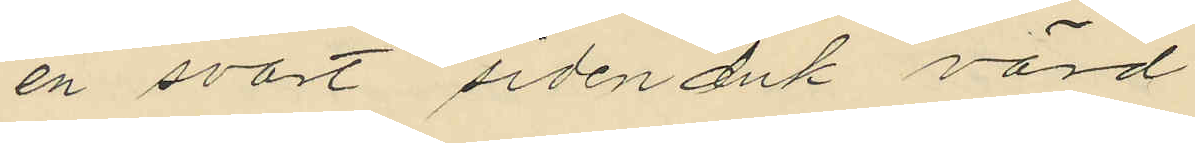en svart sidenduk värd
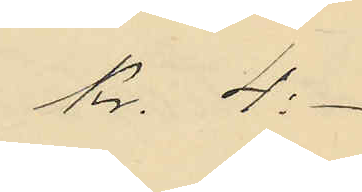kr. 4:-
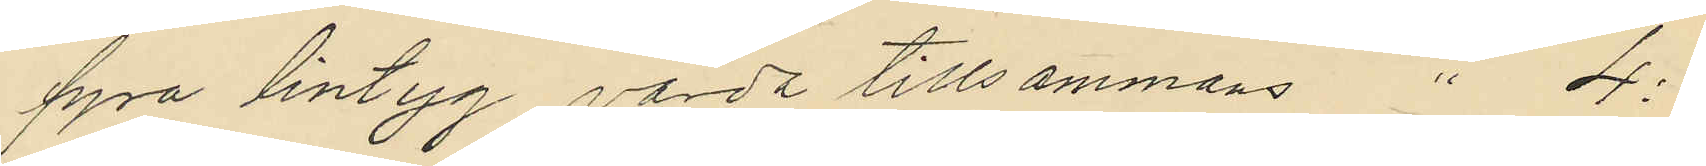fyra lintyg värda tillsammans " 4:
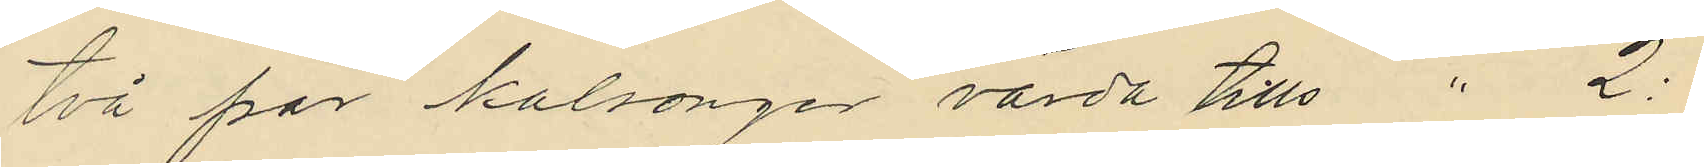två par kalsonger värda tills " 2:
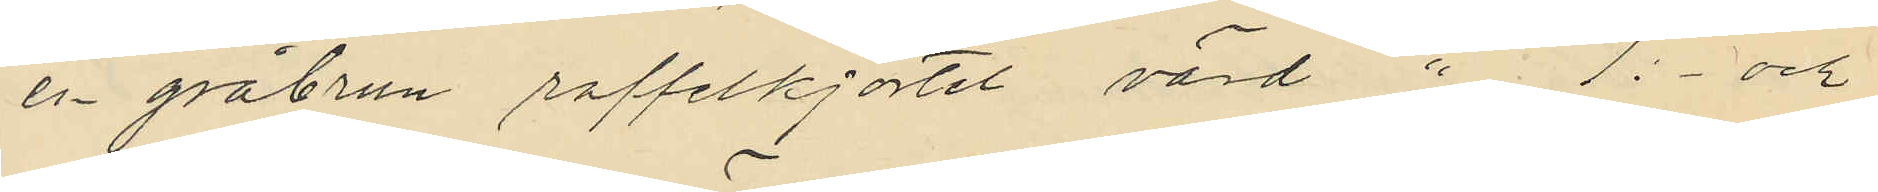en gråbrun raffelkjortel värd " 1:- och
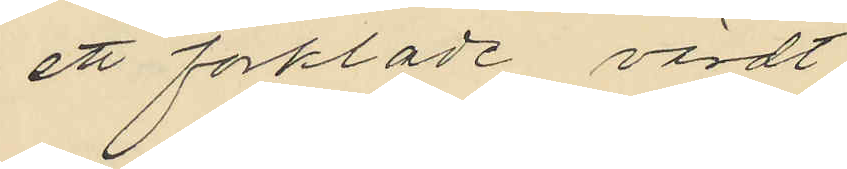ett förklade, värdt
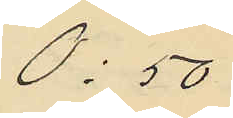0:50
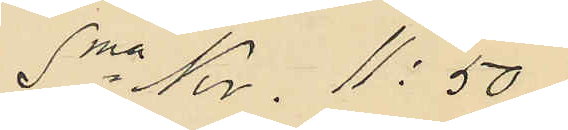Sma Kr. 11: 50
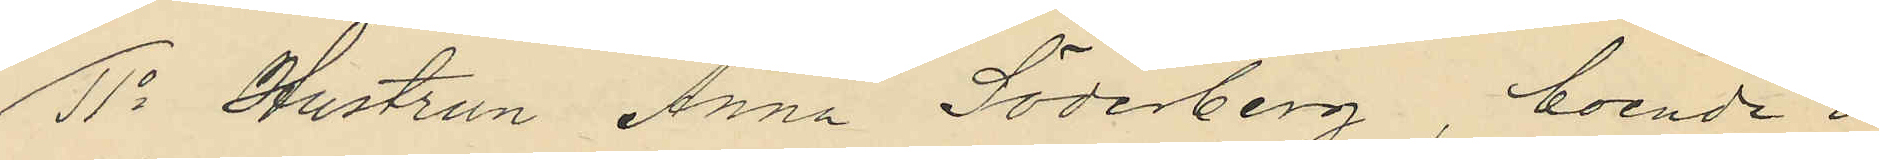11o Hustrun Anna Söderberg, boende i
